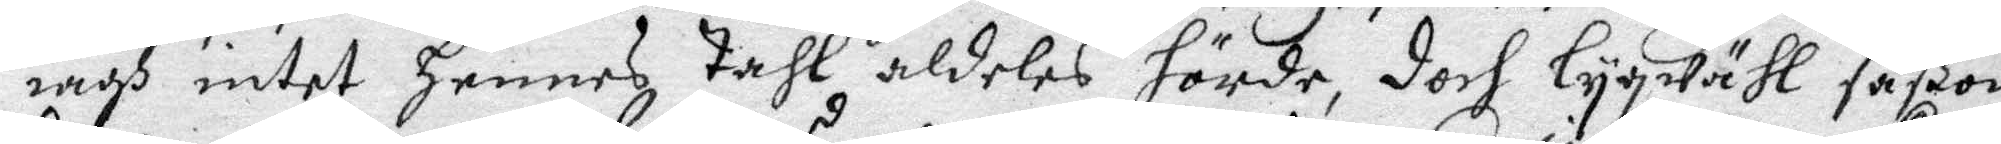iagh intet hennes tahl aldeles hörde, doch lygwähl såßom
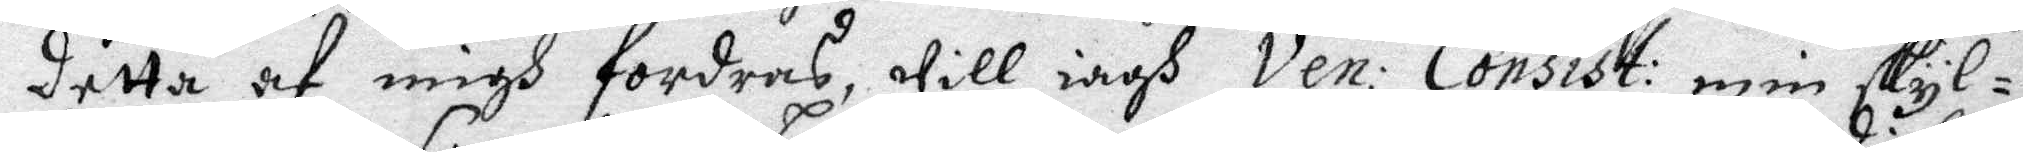detta af migh fordras, will iagh Ven: Consist: min skyl¬
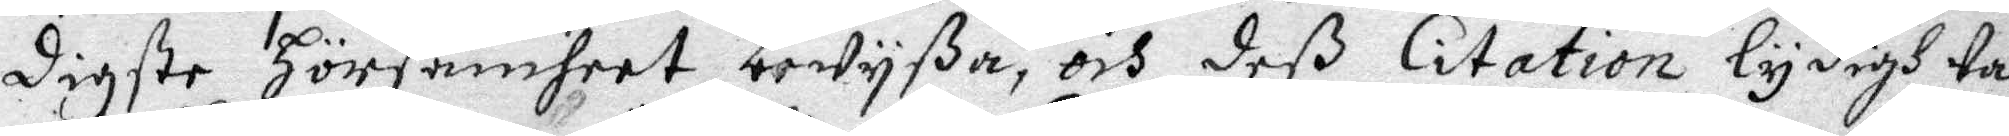digste hörsamheet bewyßa, och deß Citation lydigh ta¬
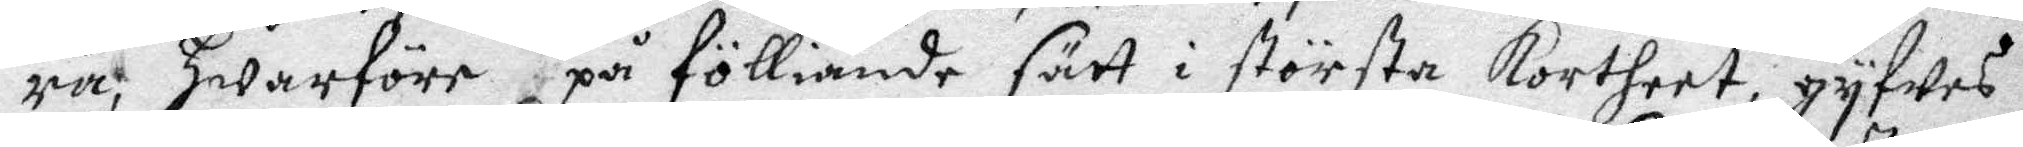ra, Hwarföre på fölliande sätt i största Kortheet gyfwes
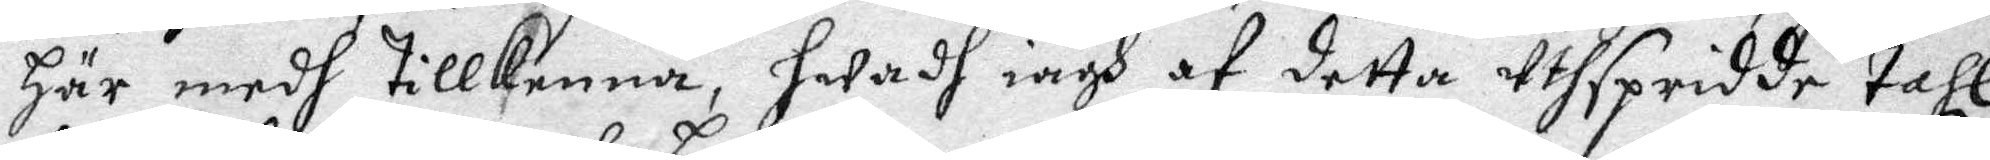här medh tillkenna, hwadh iagh af detta wthspridde tahl
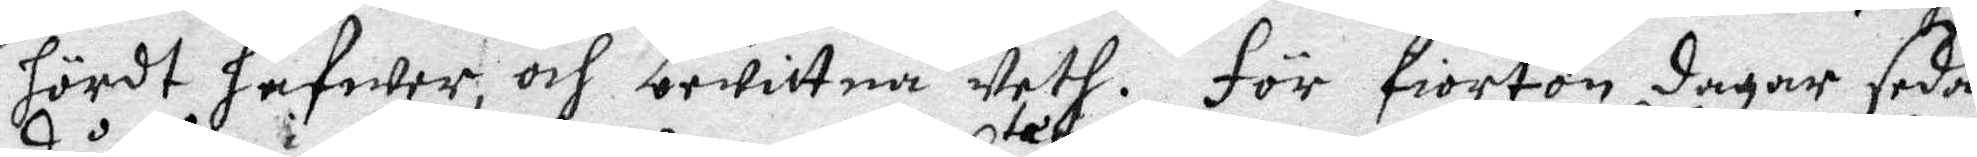hördt hafwer, och bewittna weth. för fiorton dagar sedan
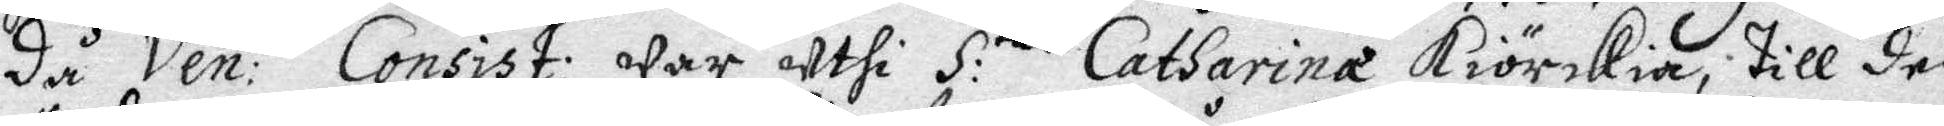då Wen:ti Consist: war uthi S. Catharina Kiörkia, till den
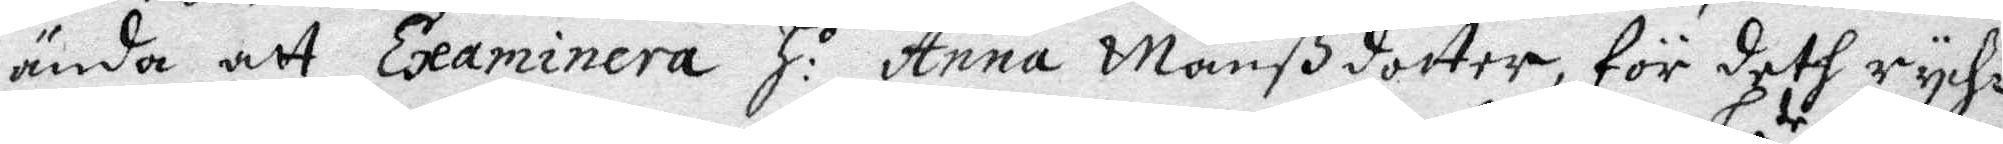ända att Examinera H.s Anna Manßdotter, för deth rych¬
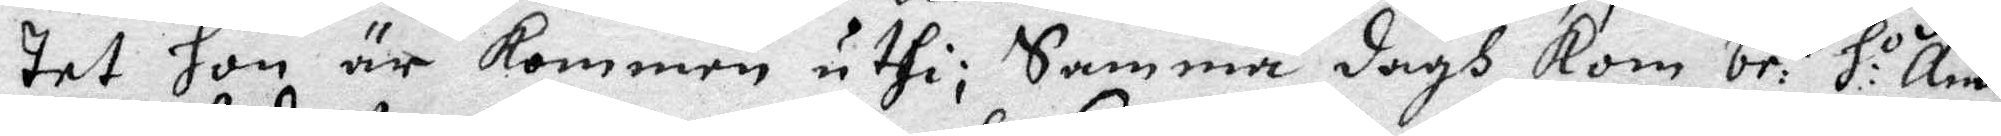tet hon är kommen uthi; Samma dagh Kom be:te H.o Anna
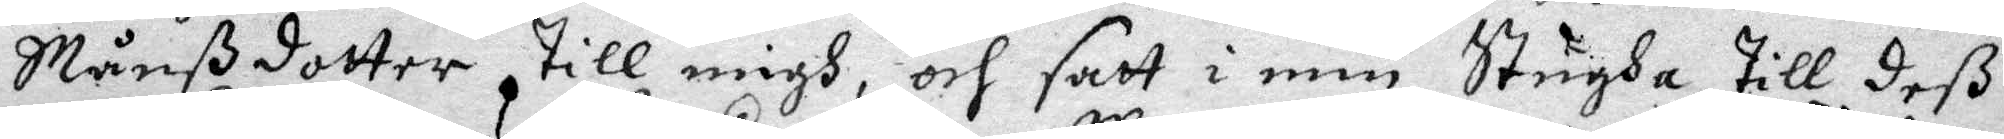Månßdotter till migh, och satt i min Stugda till deß
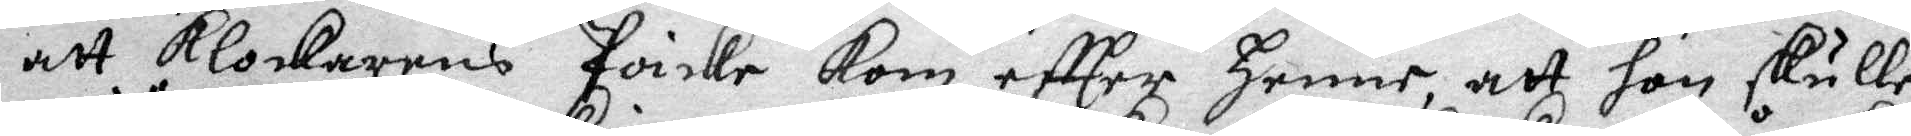att Klockarens poicke kom effter henne att hon skulle
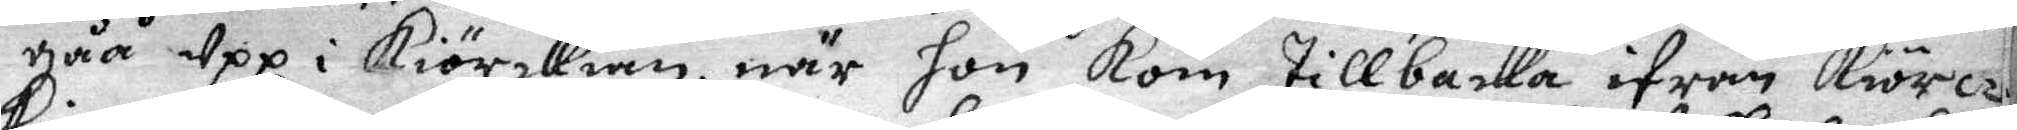gåå upp i Kiörckian, när hon kom tillbanka ifrån Kiöre¬
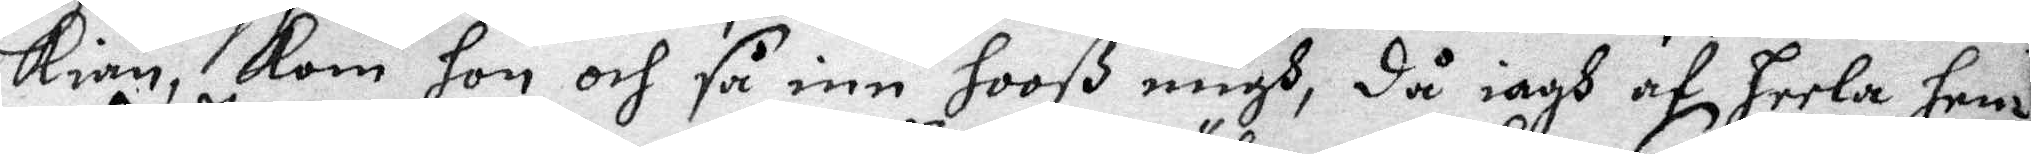kian, kom hon och så inn hooß migh, då iagh af heela hen¬
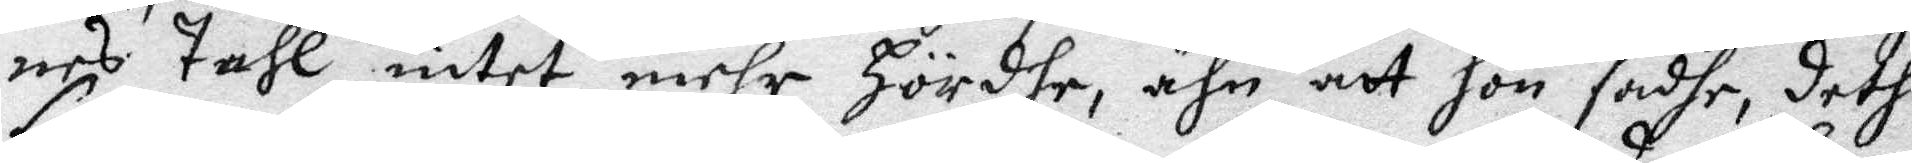nes tahl intet mehr Hördle, ähn att hon sadhe, deth
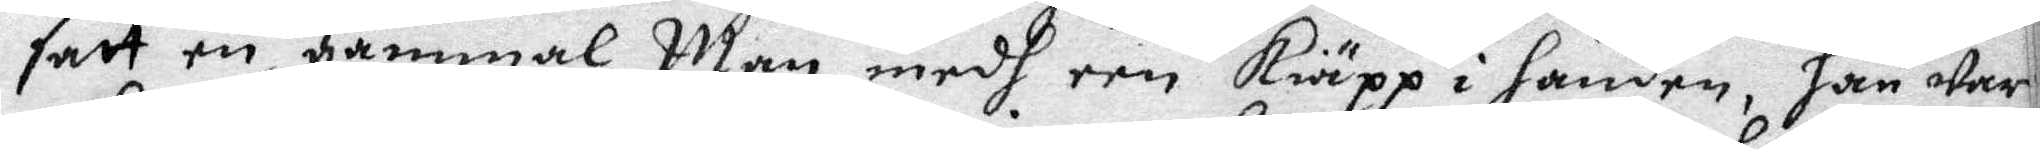satt en gammal Man medh een kiäpp i handen, han war
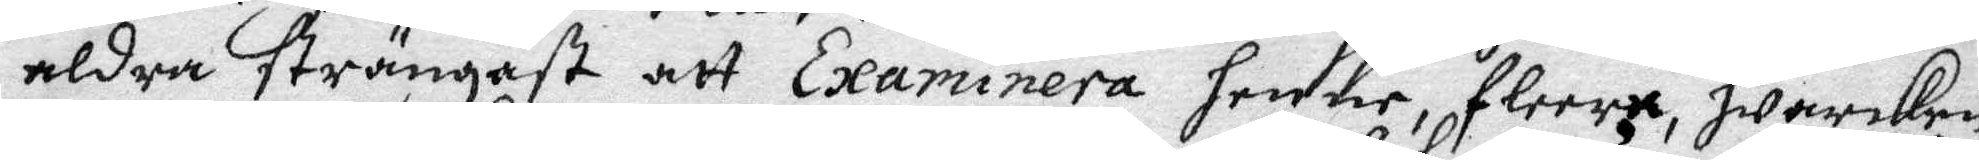aldra strängast att Examinera henne, fleera, hwarken
